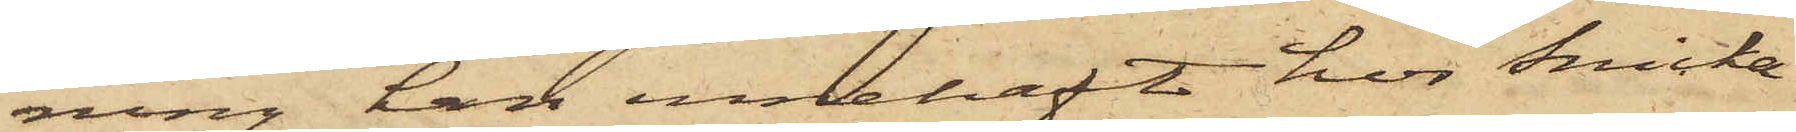ning han innehaft hos Snicka¬
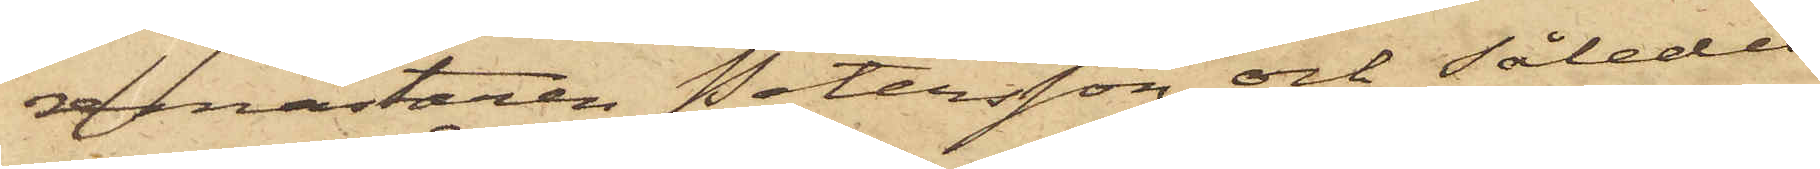emästaren Petersson och således
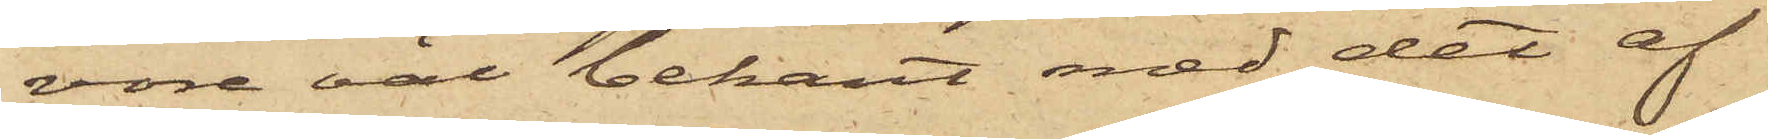vore väl bekant med det af
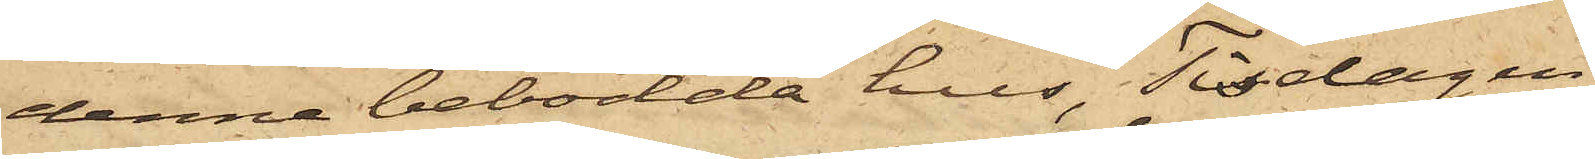denna bebodde hus, Tisdagen
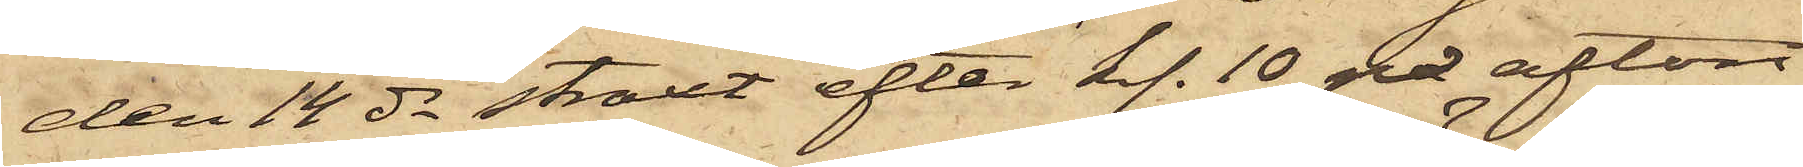den 14 ds staxt efter kl. 10 på afton
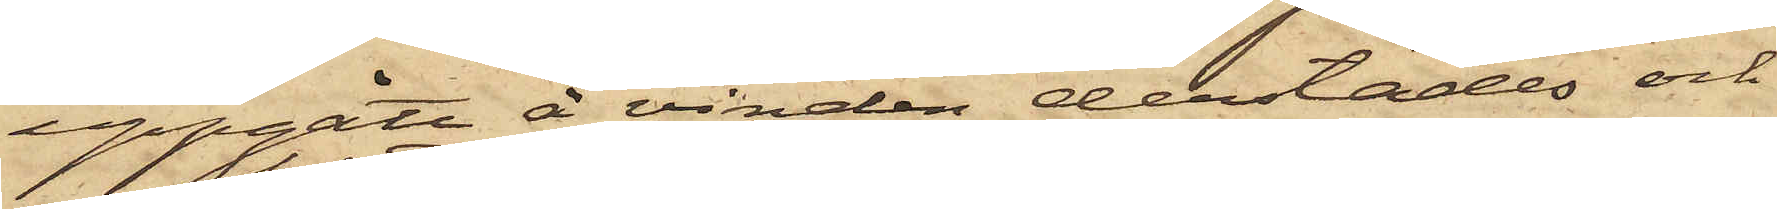uppgått å vinden derstädes och
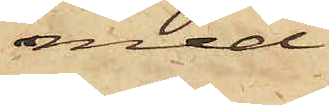med
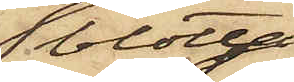blotta
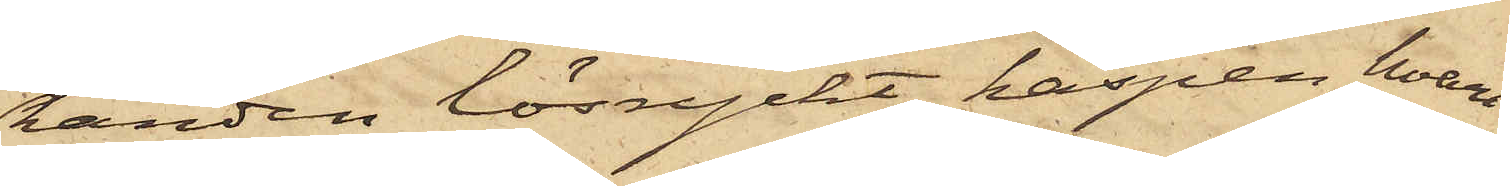randen lösryckt haspen, hvari
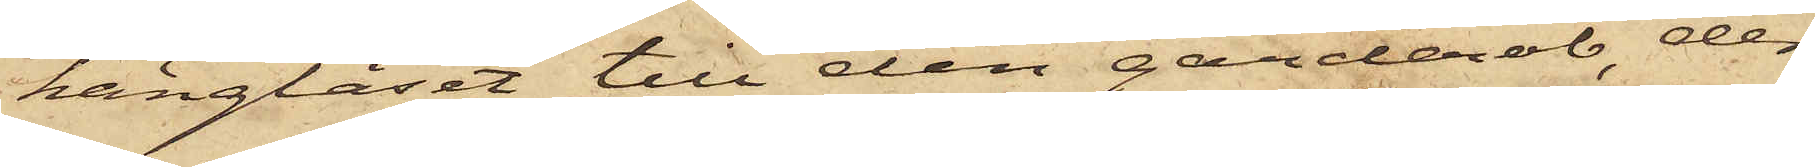hänglåset till den garderob der
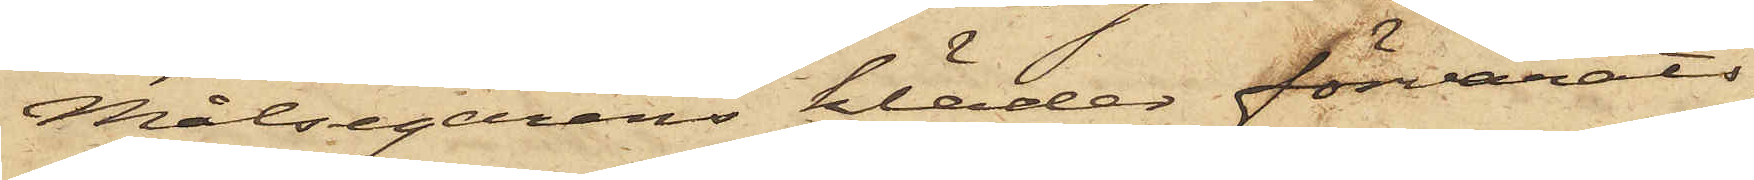Målsegarens kläder förvarats,
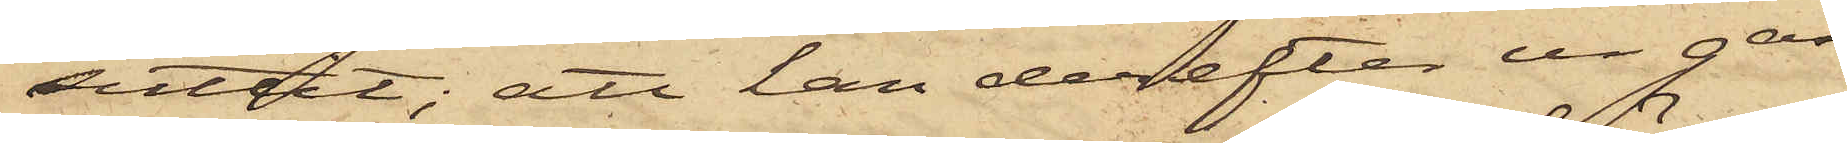suttit; att han derefter ur gar¬
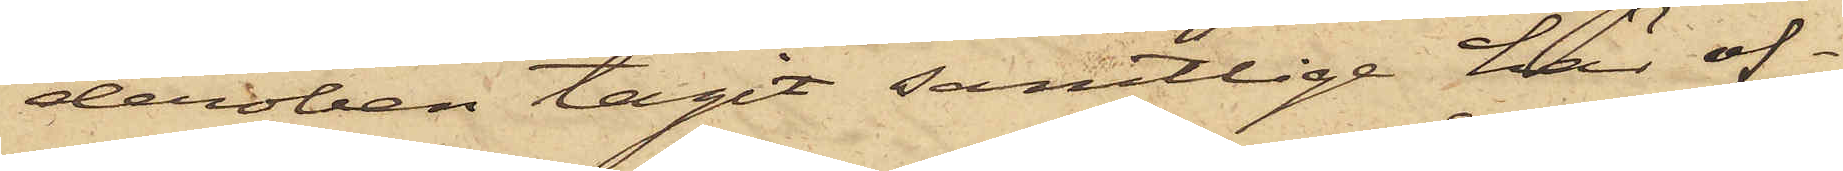deroben tagit samtlige här of¬
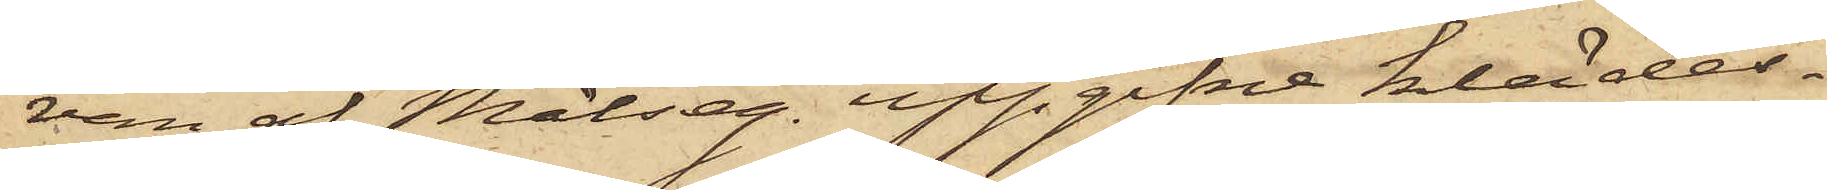van af Målseg. uppgifne klädes¬
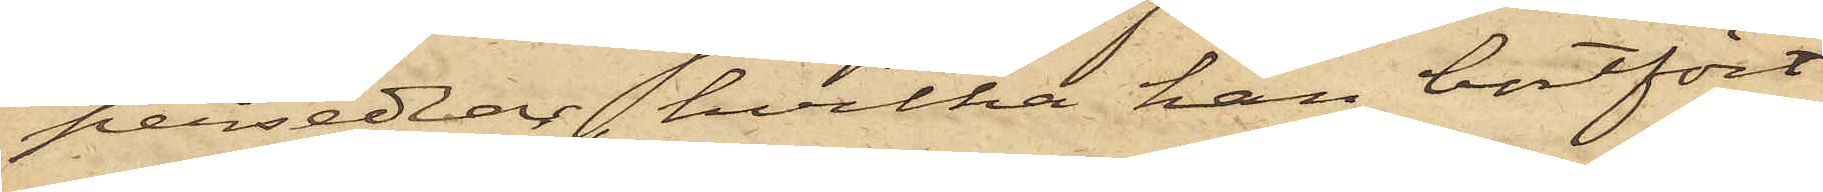persedlar, hvilka han bortfört
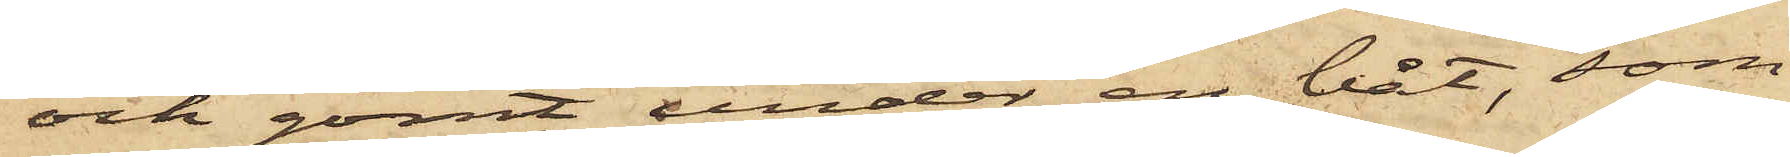och gömt under en båt, som
